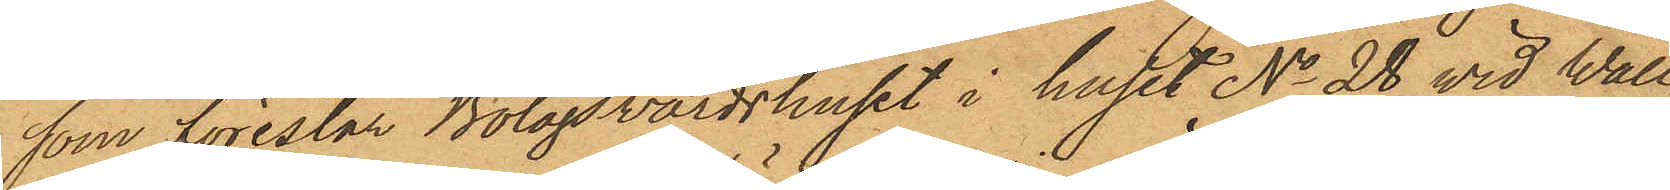som förestår Bolagswärdshuset i huset No 28 vid Wall¬
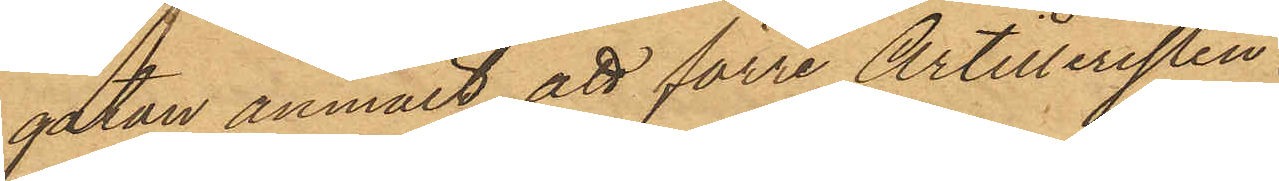gatan anmält, att förre Artilleristen
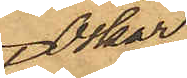Oskar
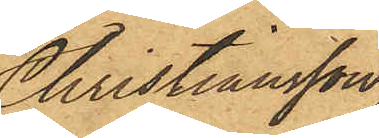Christiansson,
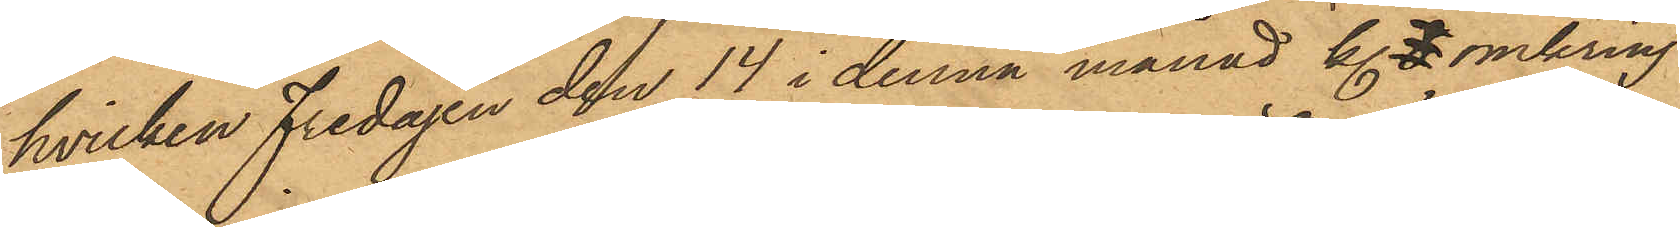hvilken Fredagen den 14 i denna månad kl. 8 omkring
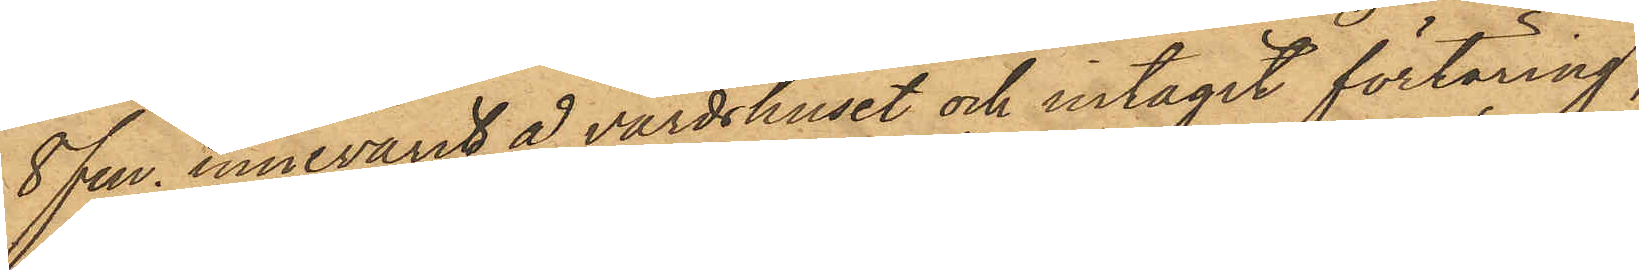8 fm. innevarit å värdshuset och intagit förtäring,
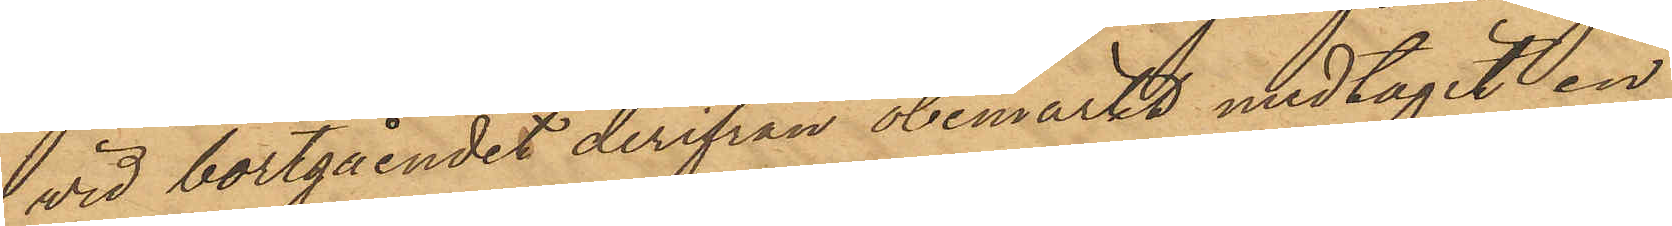vid bortgåendet derifrån obemärkt medtagit en
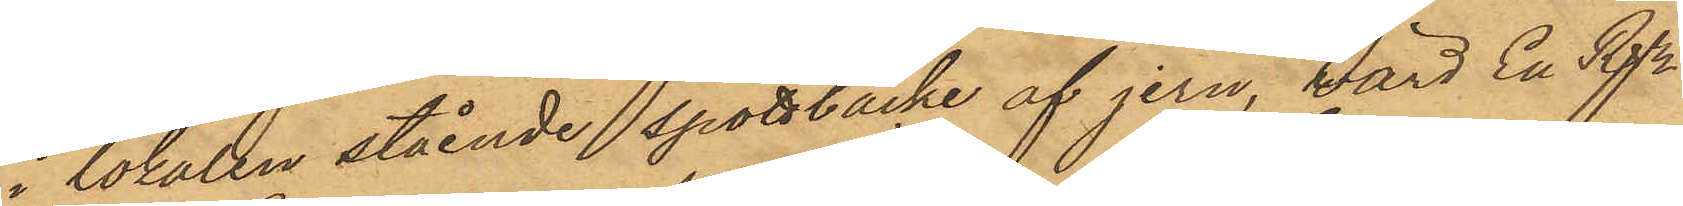i lokalen stående spottbacke af jern, värd En Rdr
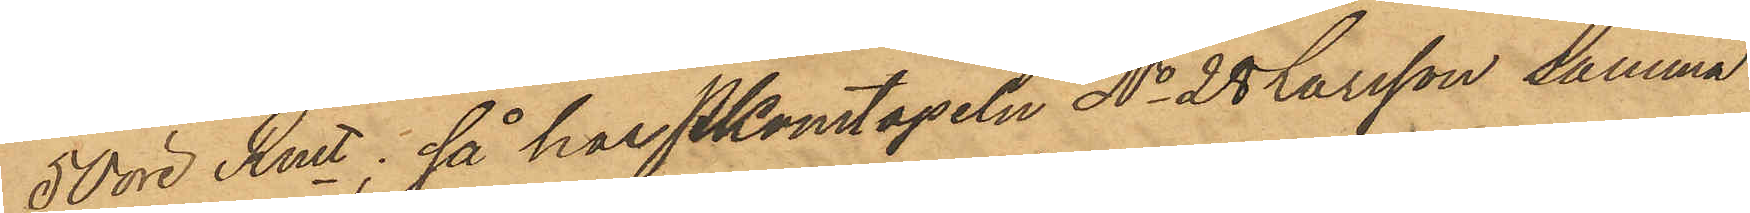50 öre Rmt; så har PKonstapeln No 28 Larsson samma
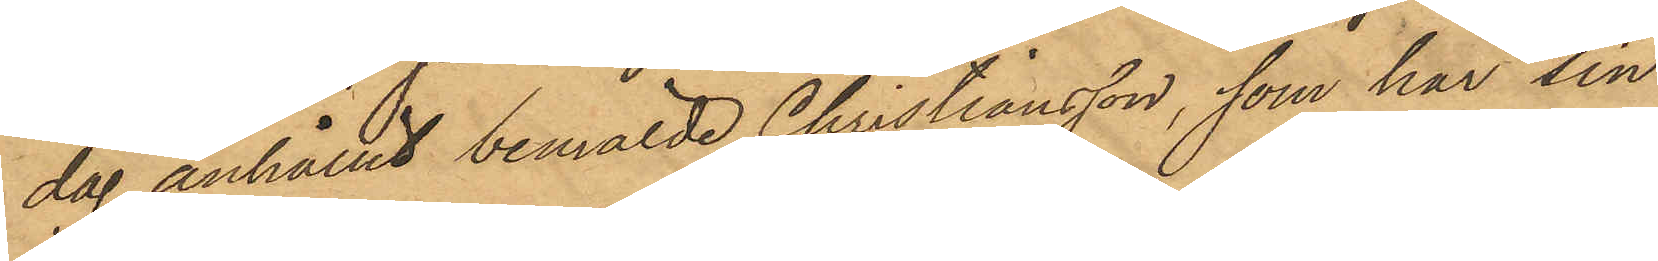dag anhållit bemälde Christiansson, som har sin
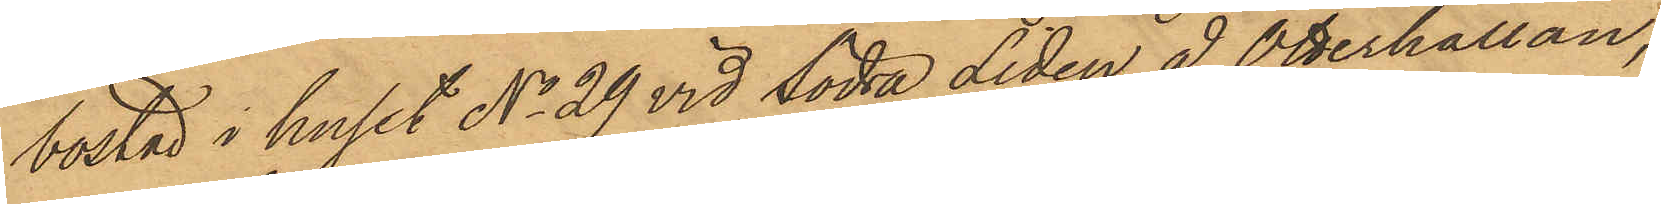bostad i huset No 29 vid Södra Liden å Otterhällan;
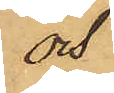och
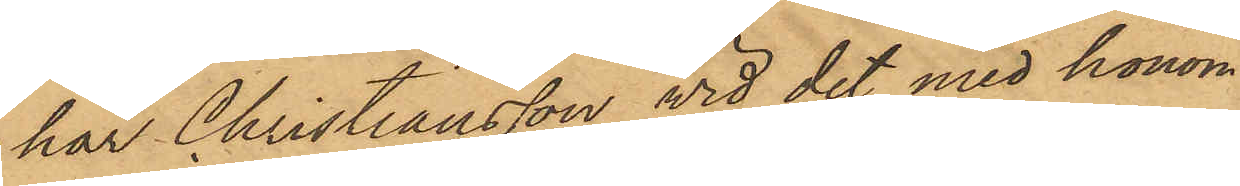har Christiansson wid det med honom
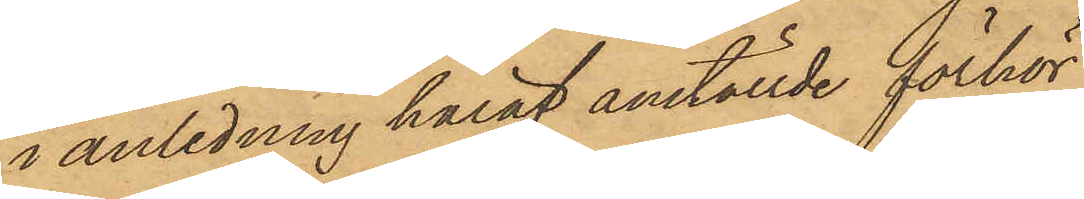i anledning häraf anställde förhör
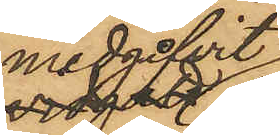medgivit,
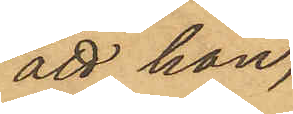att han,
